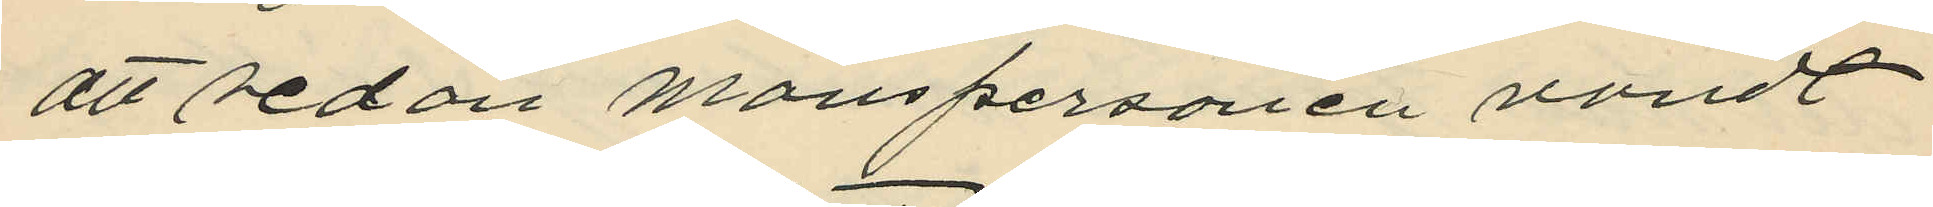att sedan manspersonen vändt
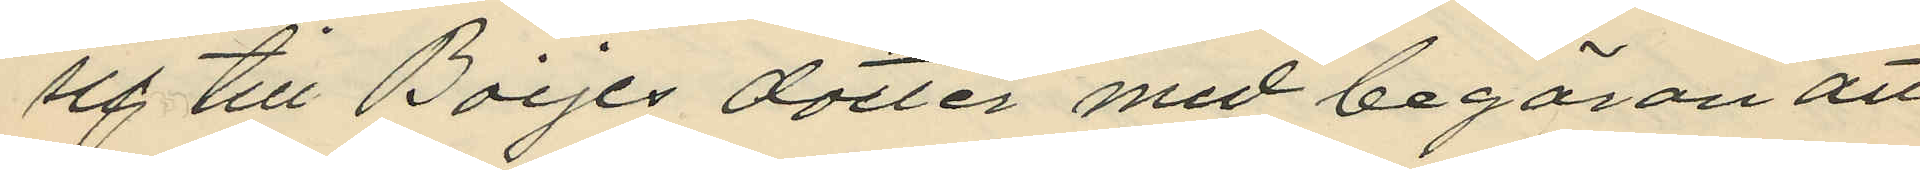sig till Boijes dotter med begäran att
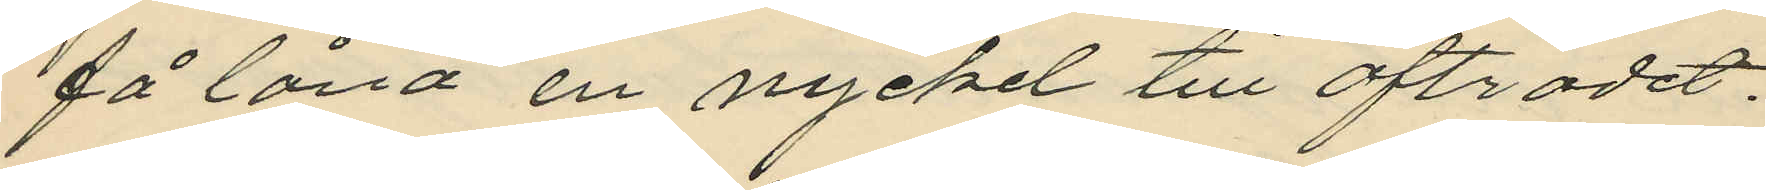få låna en nyckel till afträdet.
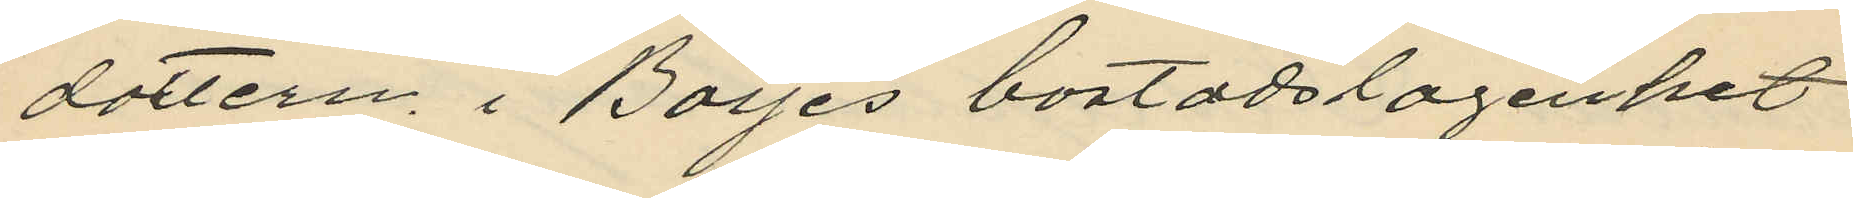dottern i Boijes bostadslägenhet
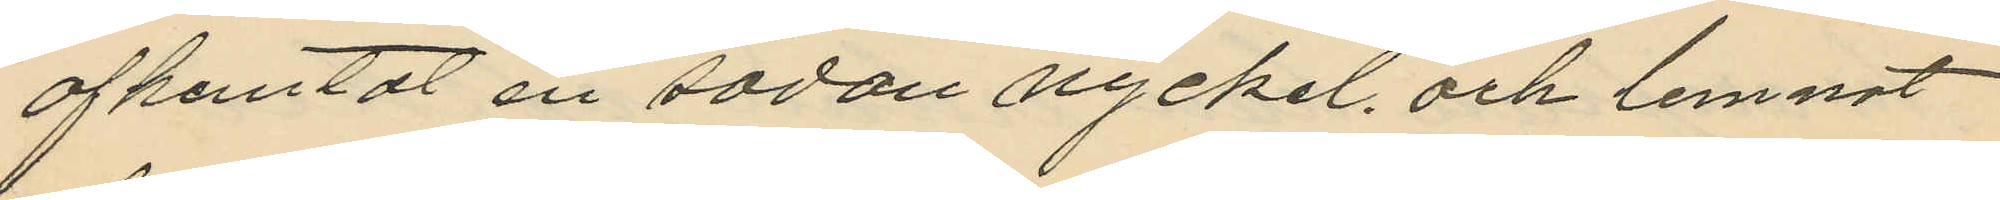afhemtat en sådan nyckel. och lemnat
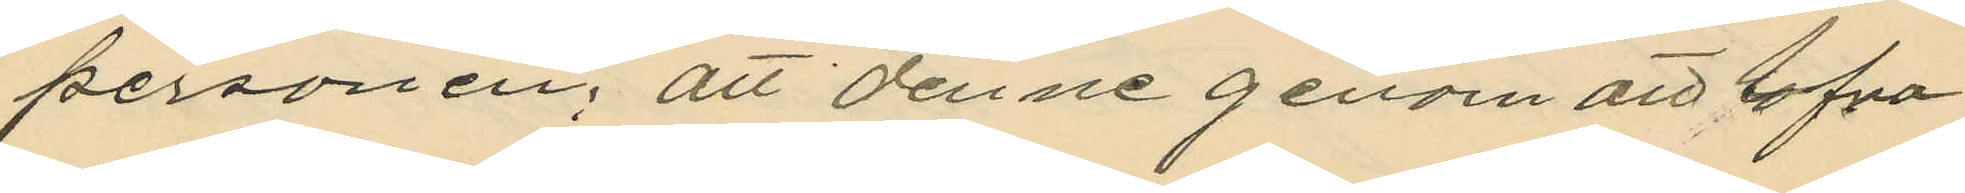personen; att denne genom att lofva
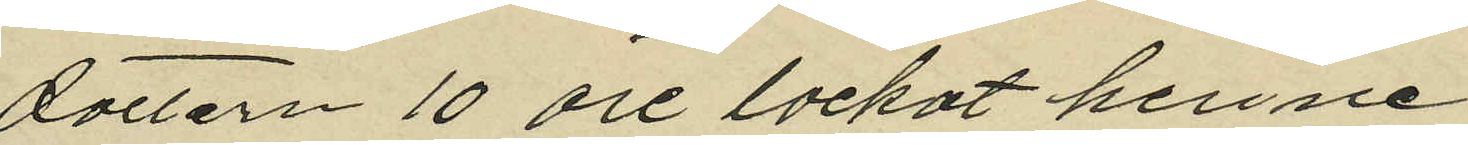dottern 10 öre lockat henne
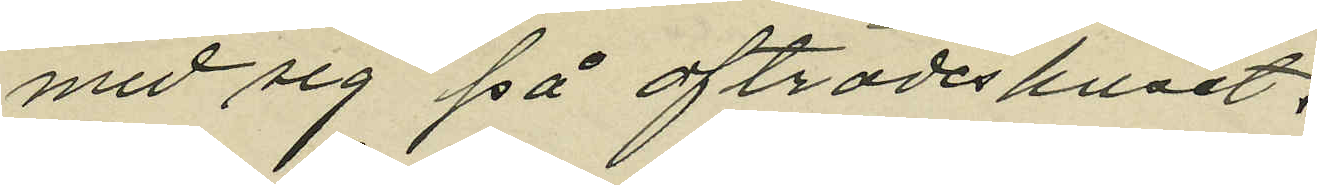med sig på afträdeshuset,
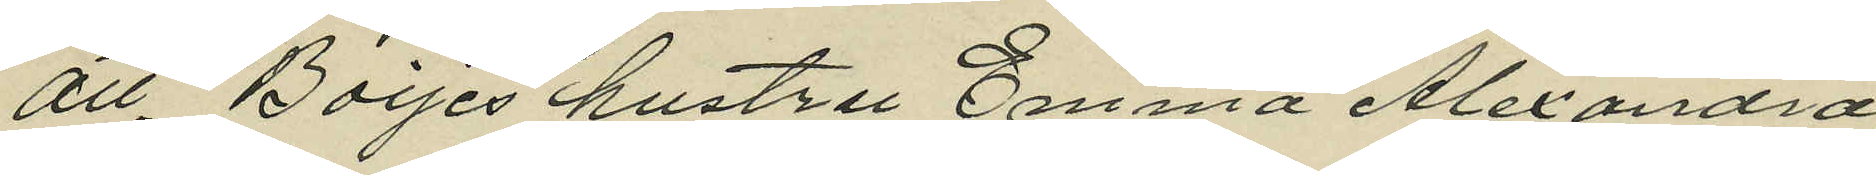att. Boijes hustru Emma Alexandra,
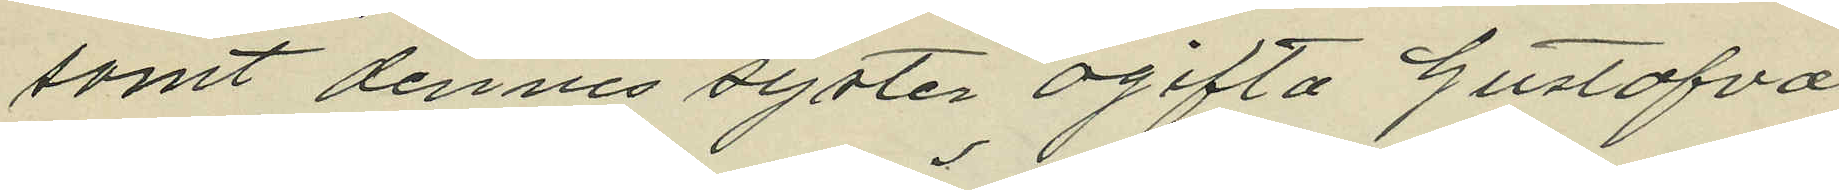samt dennes syster ogifta Gustafva
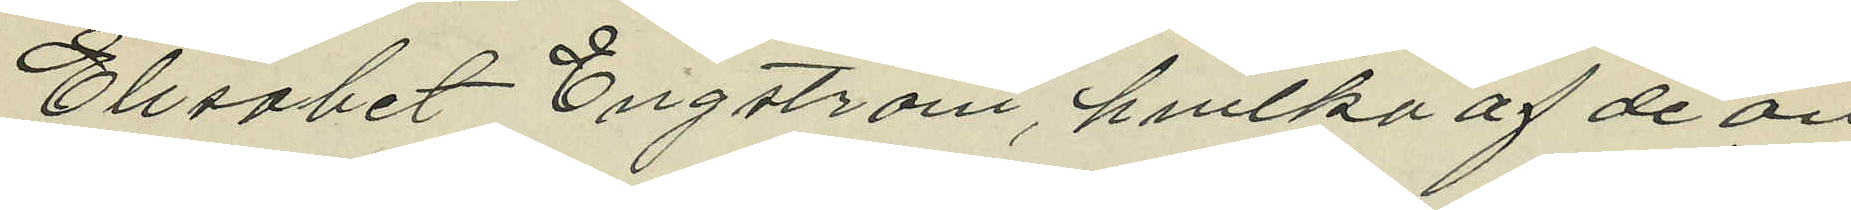Elisabet Engström, hvilka af de an
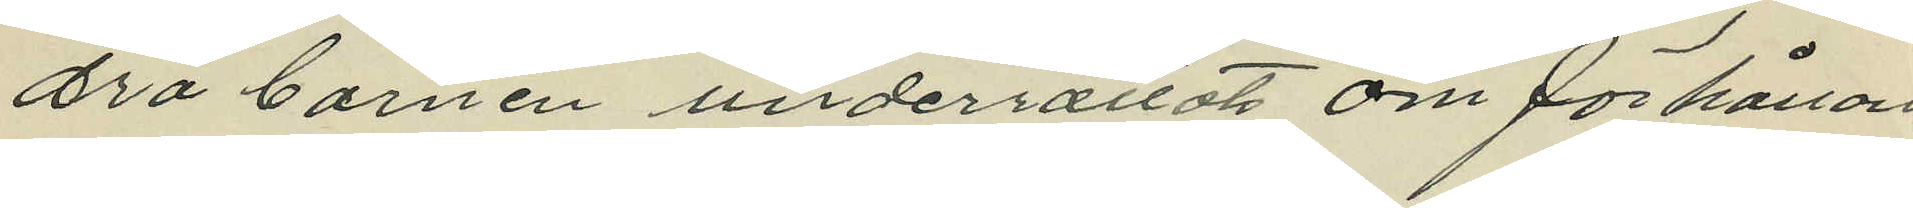dra barnen underrättats om förhållan¬
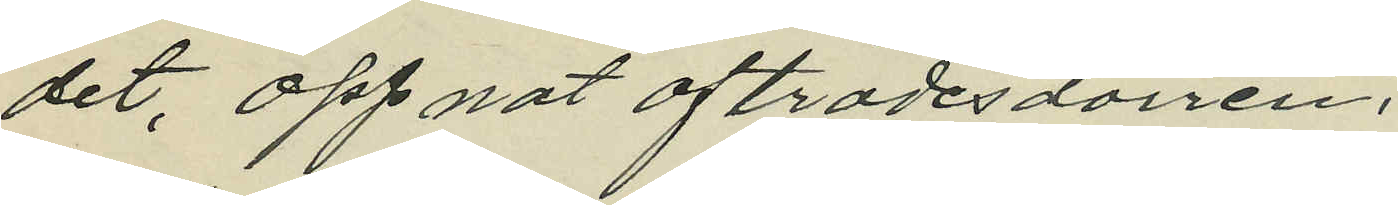det, öppnat afträdesdörren,
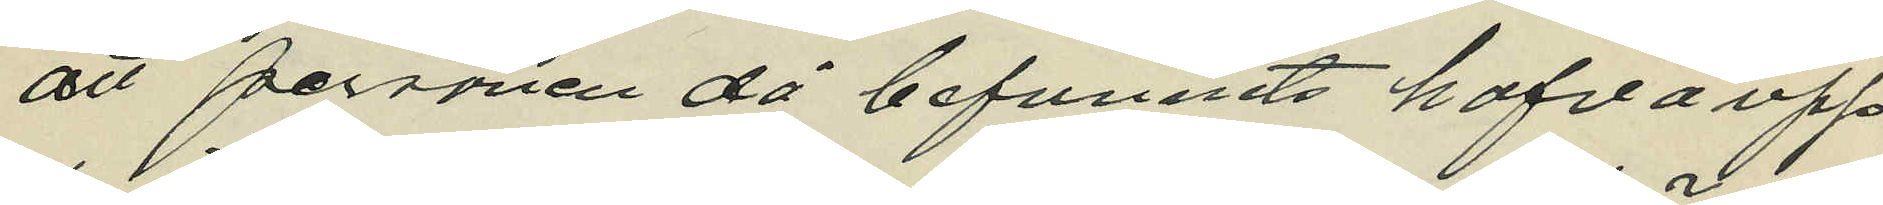att personen då befunnits hafva upp
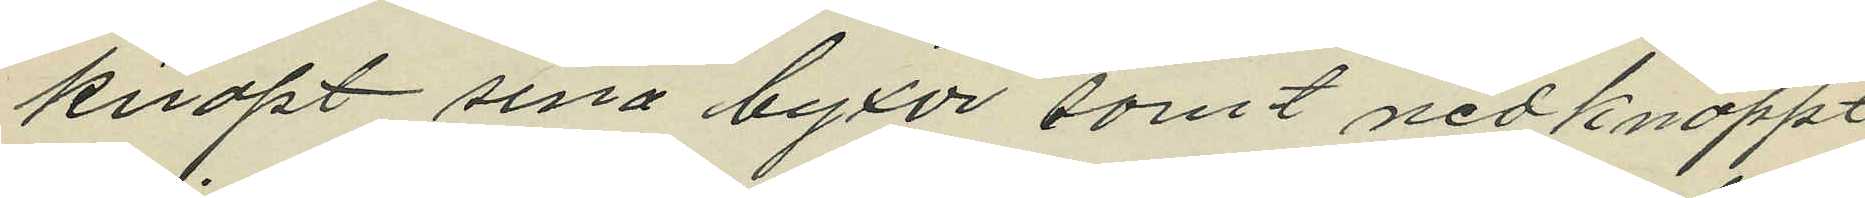knäpt sina byxor samt nedknäppt
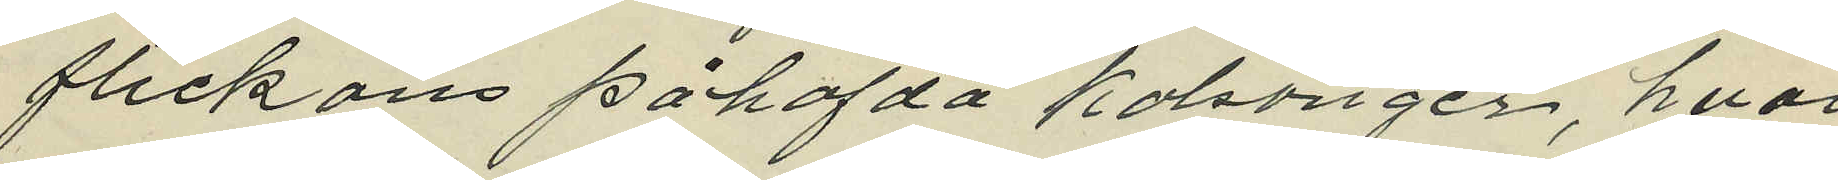flickans påhafda kalsonger, hvar
